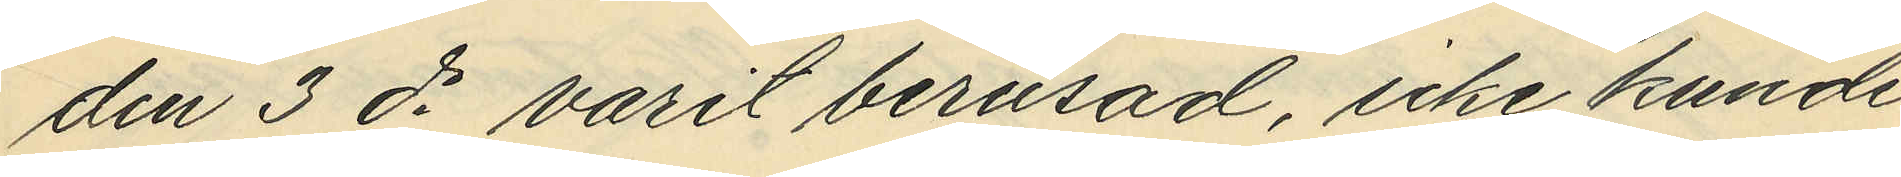den 3 ds varit berusad, icke kunde
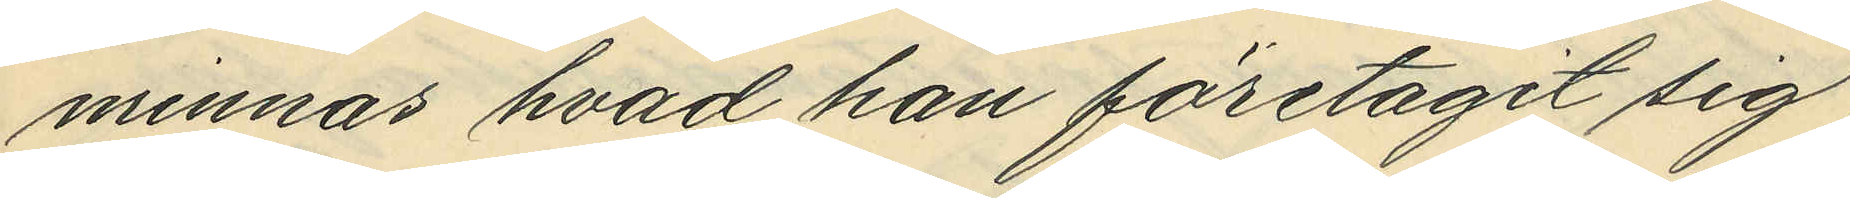minnas hvad han företagit sig,
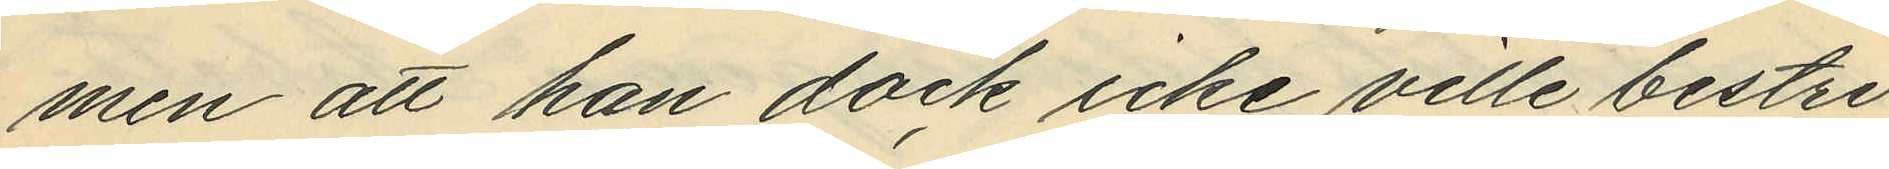men att han dock icke ville bestri¬
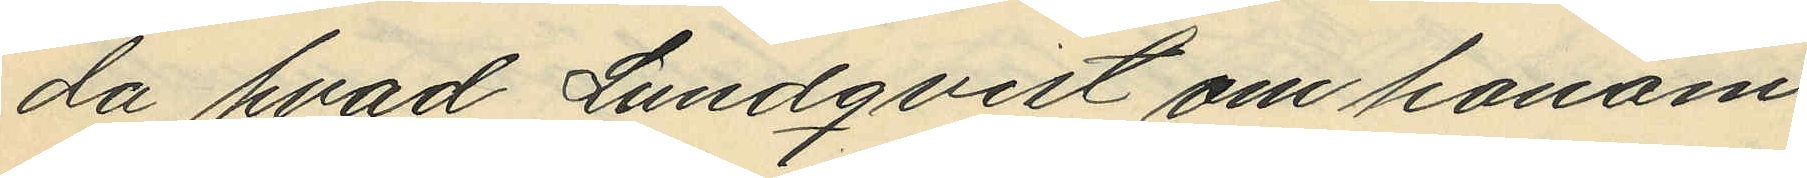da hvad Lundqvist om honom
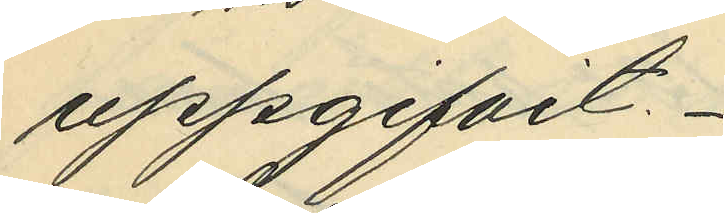uppgifvit.
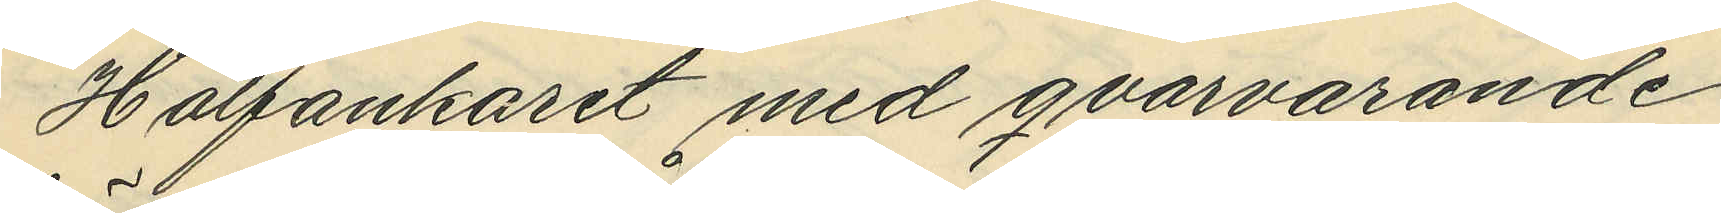Halfankaret med qvarvarande
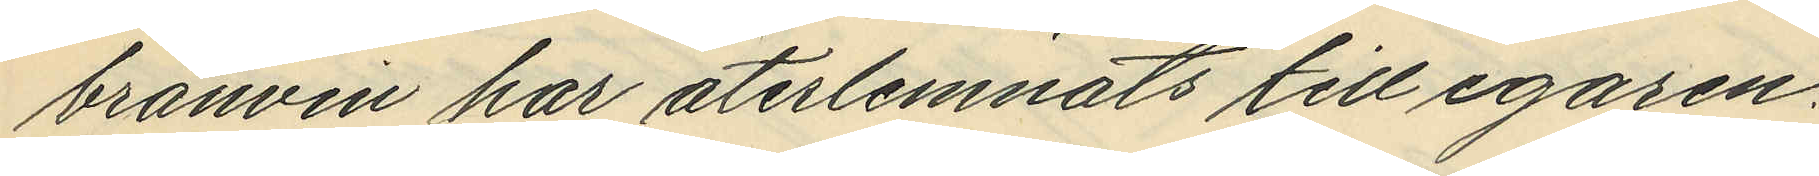bränvin har återlemnats till egaren.
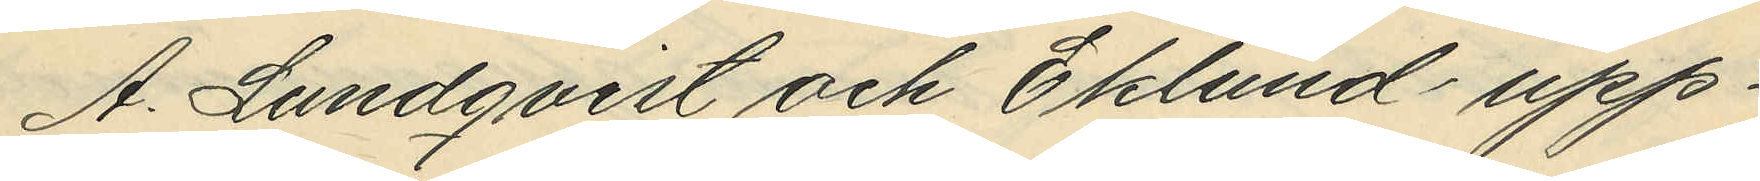A. Lundqvist och Eklund upp¬
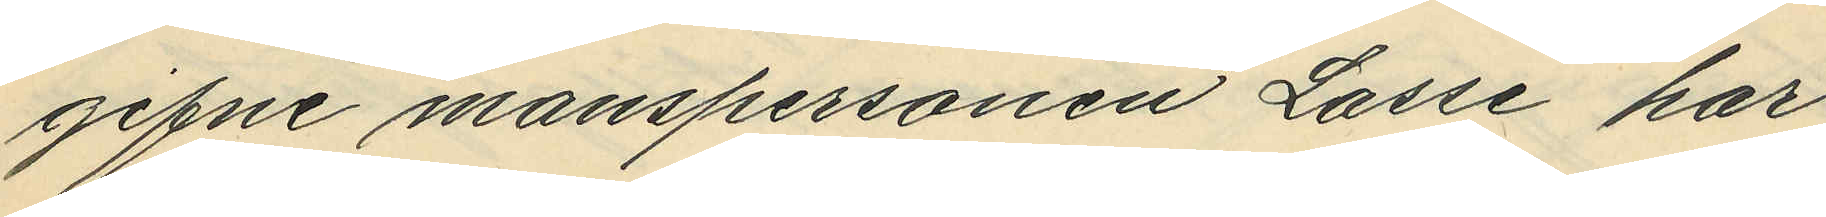gifne manspersonen Lasse har
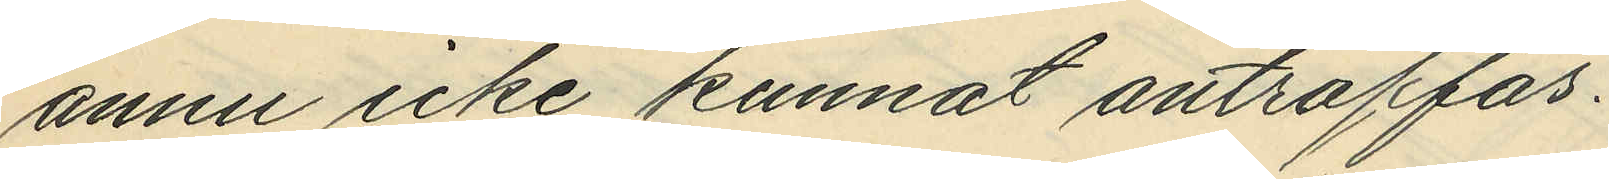annu icke kunnat anträffas.
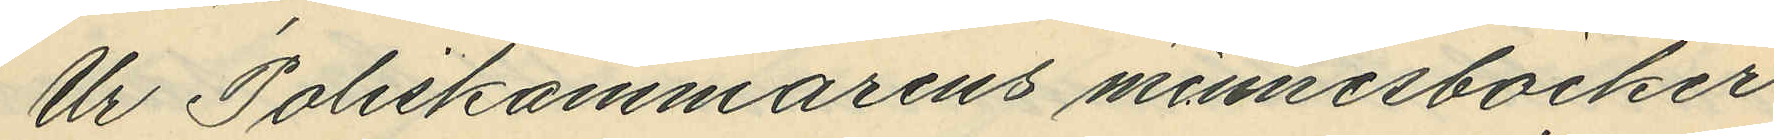Ur Poliskammarens minnesböcker
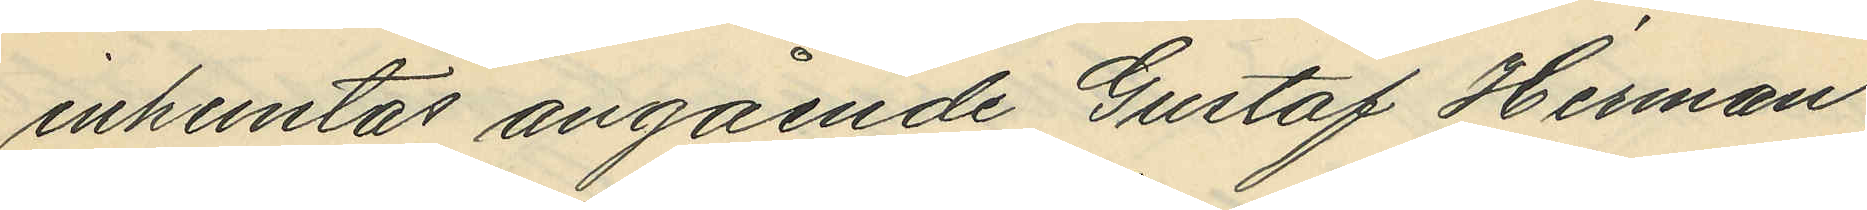inhemtas angående Gustaf Herman
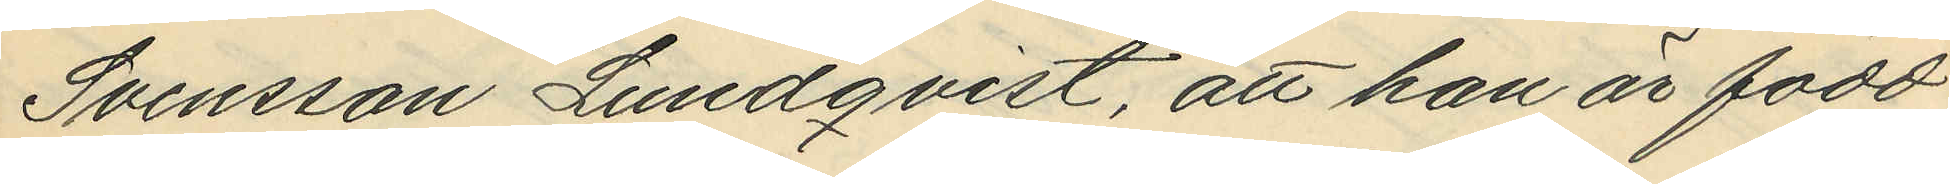Svensson Lundqvist, att han är född
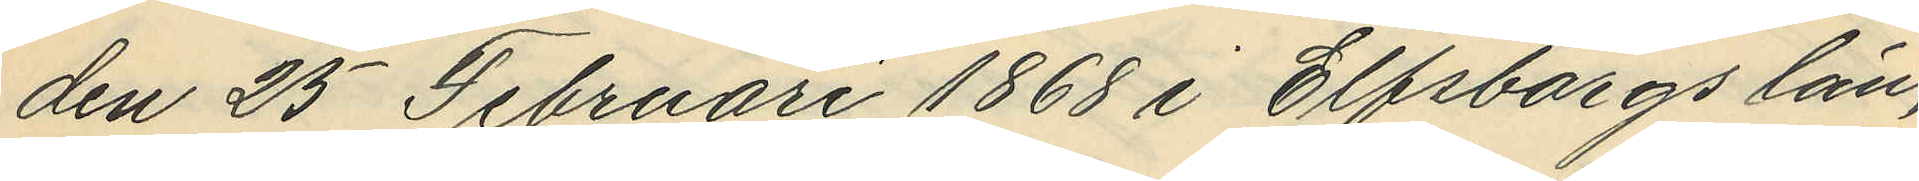den 25 Februari 1868 i Elfsborgs län,
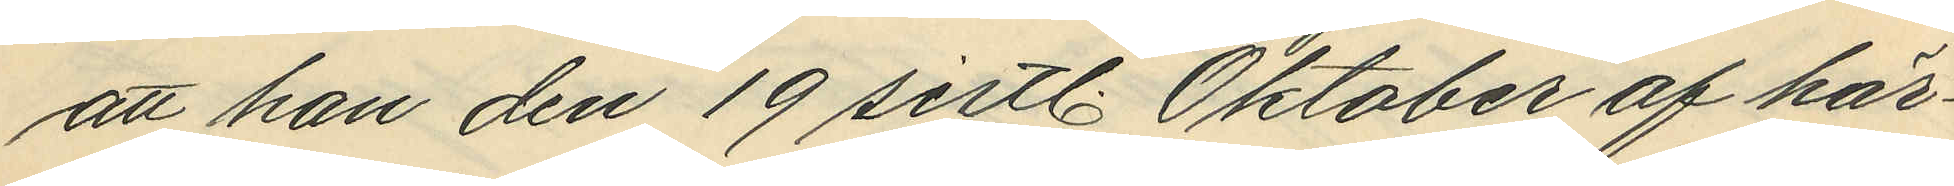att han den 19 sistl. Oktober af här¬
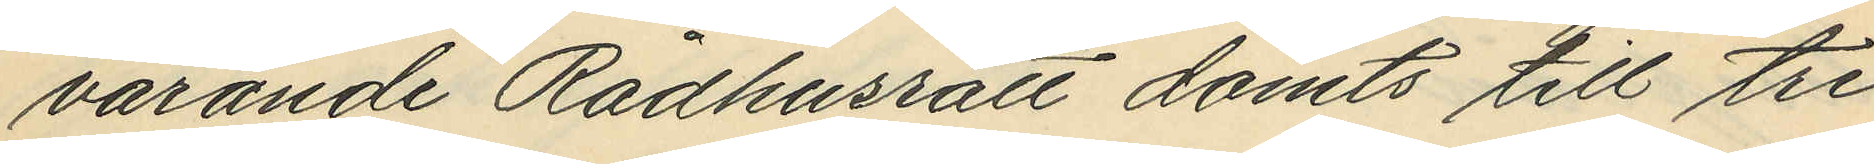varande Rådhusrätt dömts till tre
